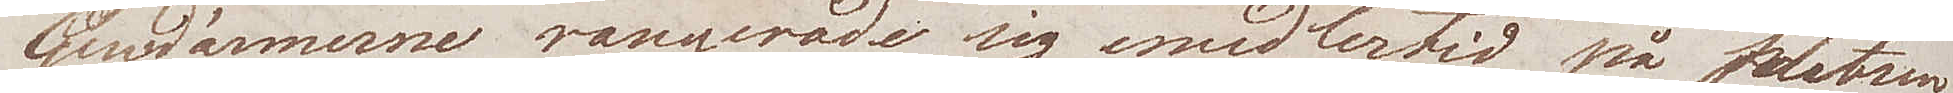Gudmännerne rangerade sig emedlertid på platsen
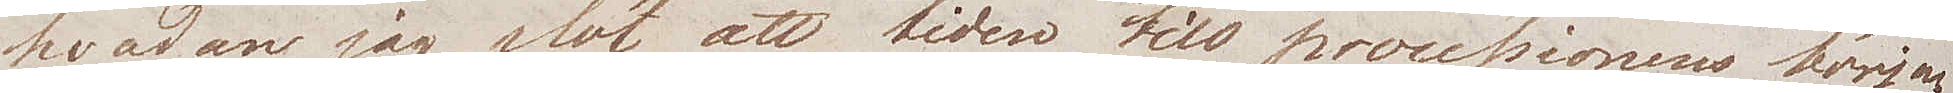hvadan jag slöt att tiden till processionens början
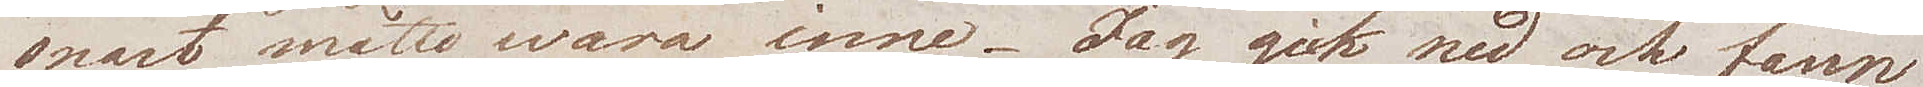snart måtte wara inne. Jag gick ned och fann
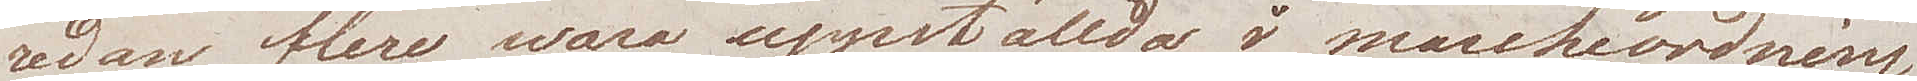redan flere wara uppställda i marchordning.
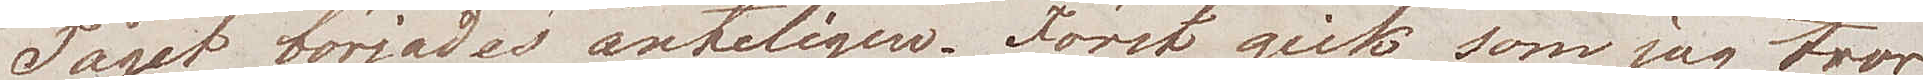Tåget började äntligen. Först gick som jag tror
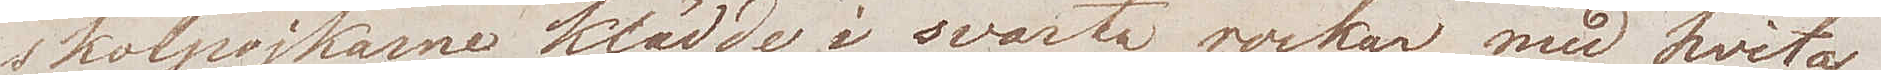skolpojkarne klädde i svarta rockar med hvita
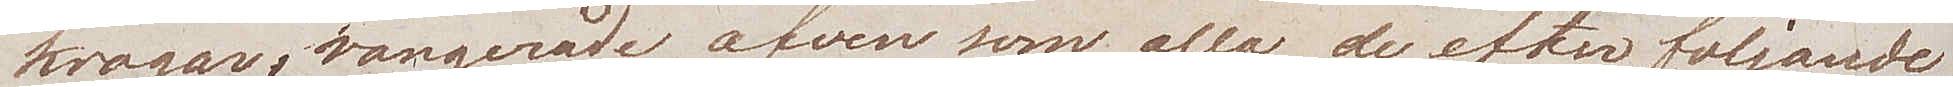kragar, rangerade äfven som alla de efter följande
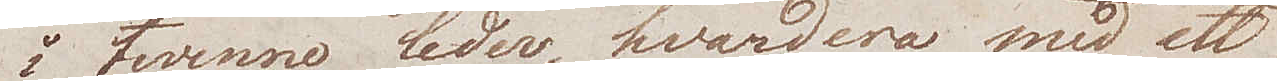i twenne leder, hvardera med ett
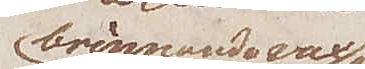brinnande wax¬
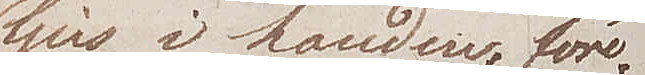ljus i handen, före¬
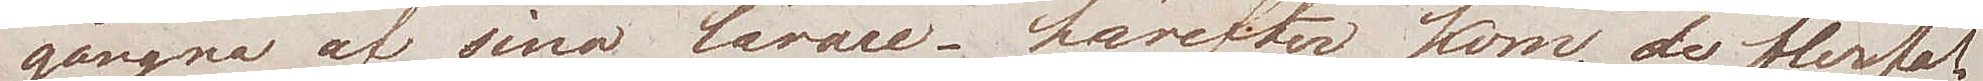gångna af sina lärare – härefter kom, de flerfal¬
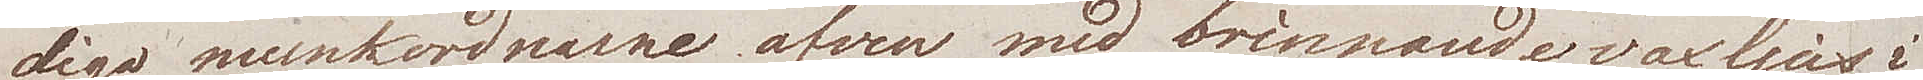diga munkordnarne äfven med brinnande vaxljus i
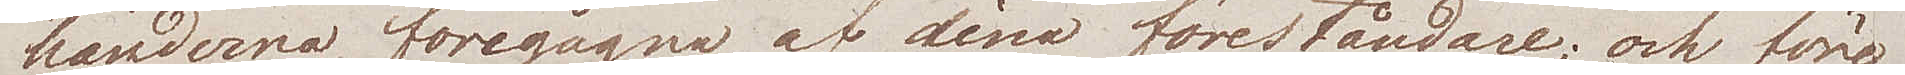händerna, föregågna af sina föreståndare; och före
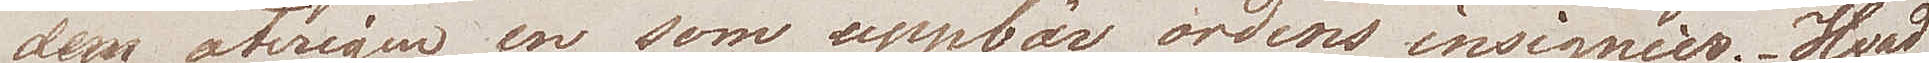dem återigen en som uppbär ordens insignier. Hvad
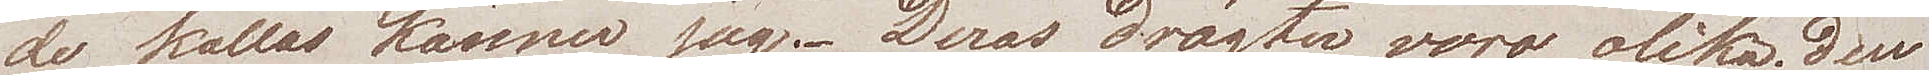de kallas känner jag. Deras drägter voro olika; den
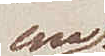ena
